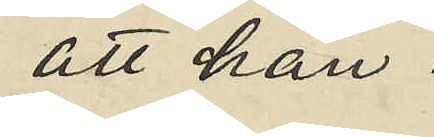att han
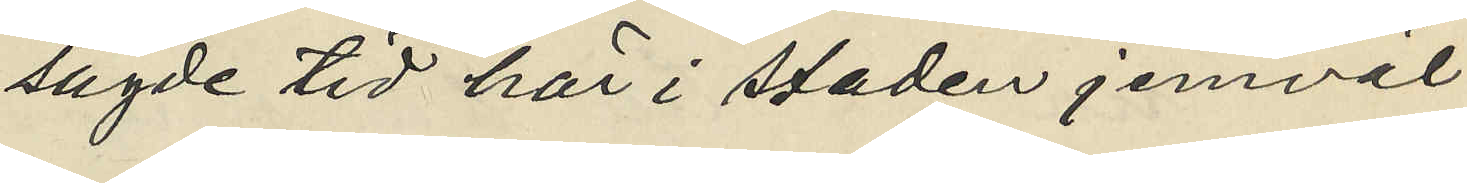sagde tid här i staden jemväl
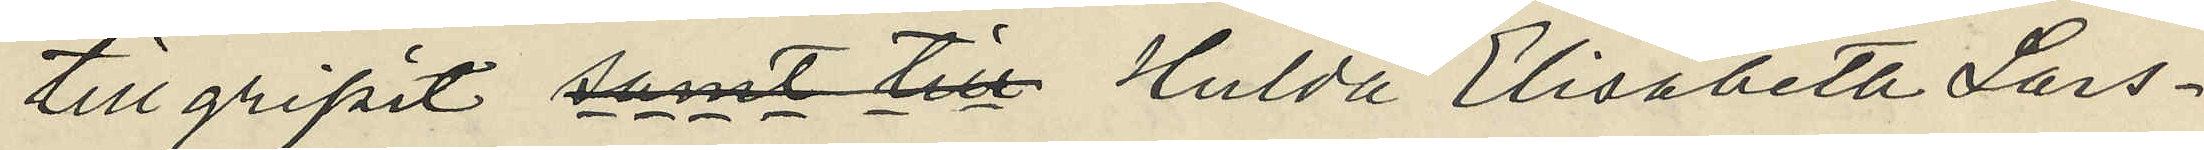tillgripit samt till Hulda Elisabeta Lars¬
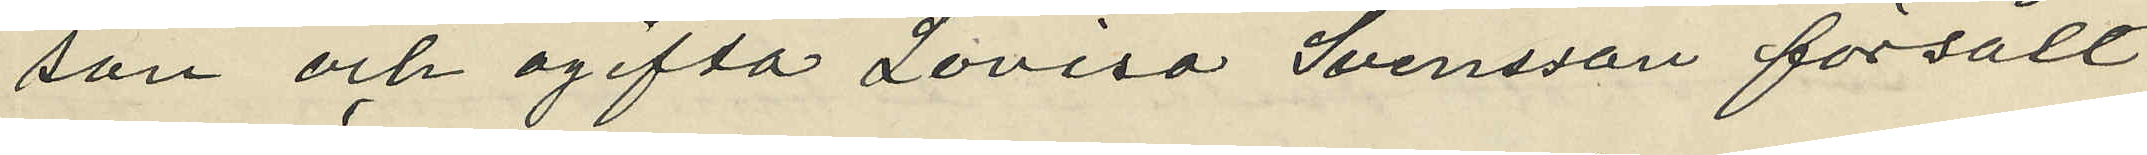son och ogifta Lovisa Svensson försålt
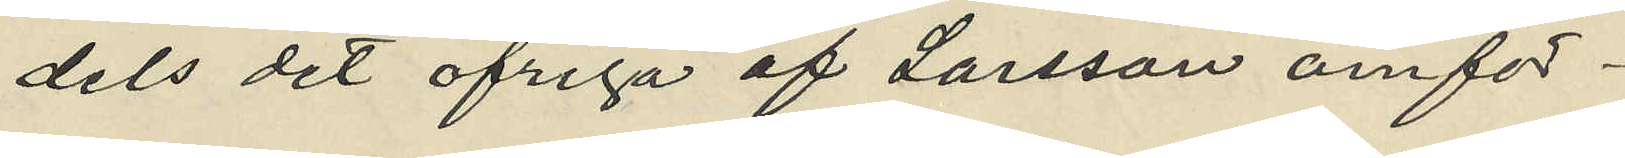dels det öfriga af Larsson om för¬
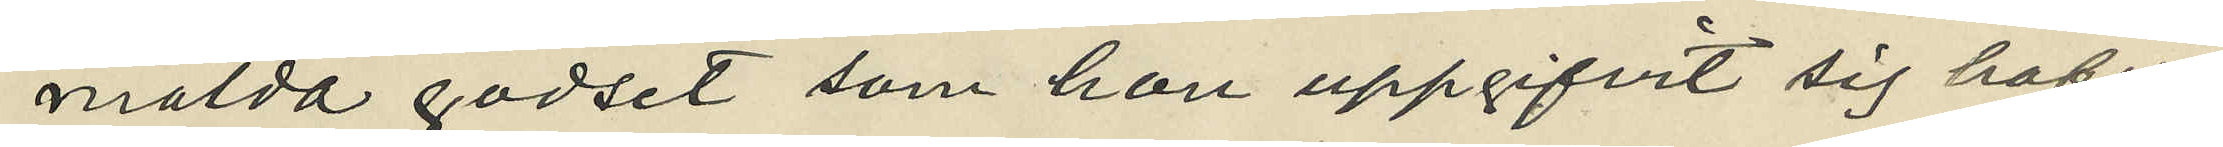mälda godset som hon uppgifvit sig hafva
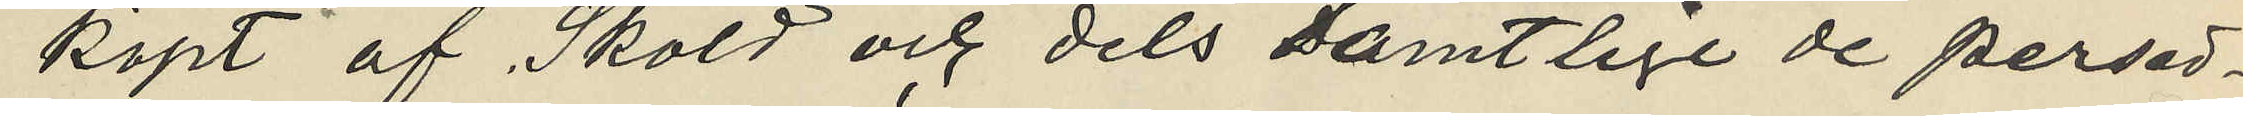köpt af Sköld och dels samtlige de persed¬
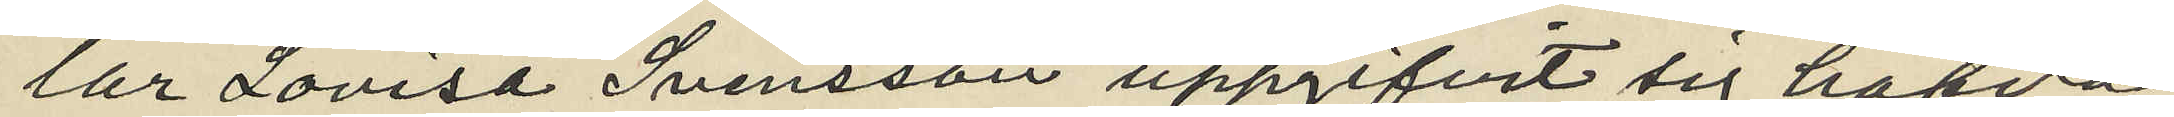lar Lovisa Svensson uppgifvit sig hafva
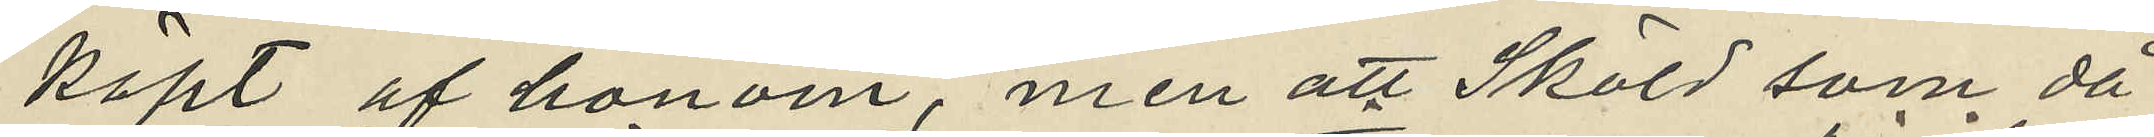köpt af honom, men att Sköld som då
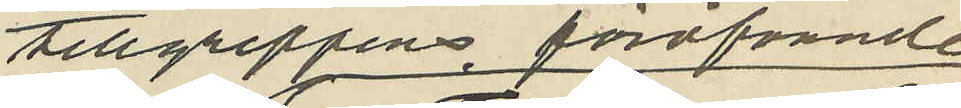tillgreppens föröfvande
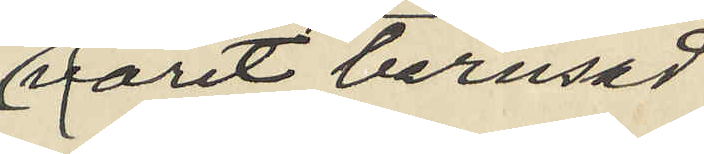varit berusad
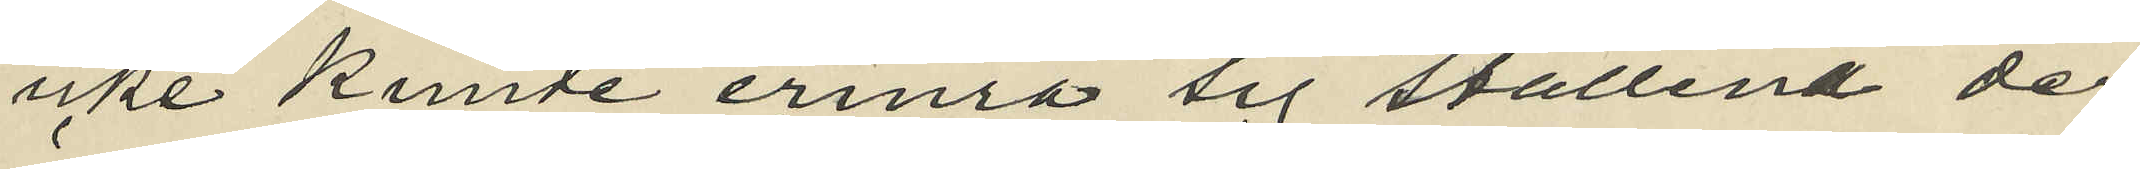icke kunde erinra sig ställena der
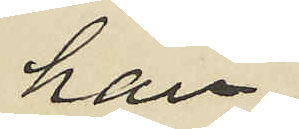han
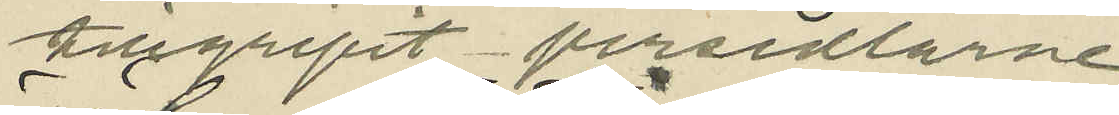tillgripit persedlarne;
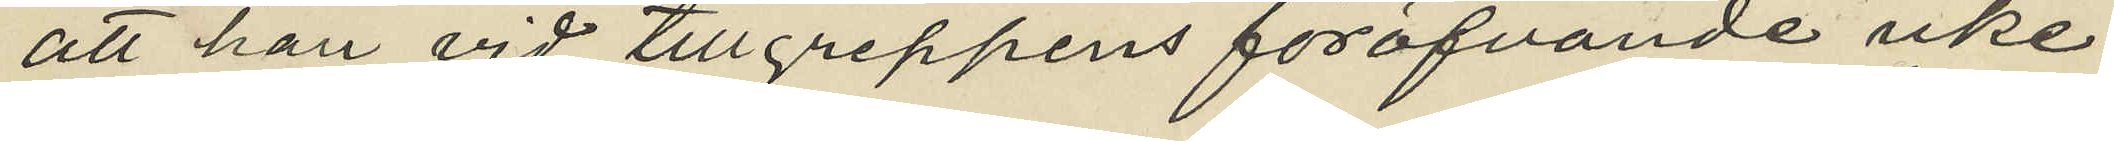att han vid tillgreppens föröfvande icke
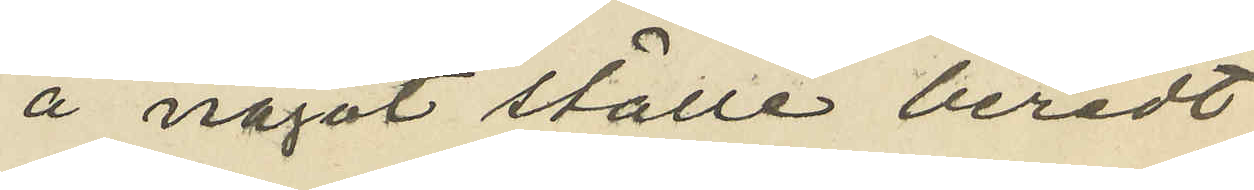å något ställe beredt
